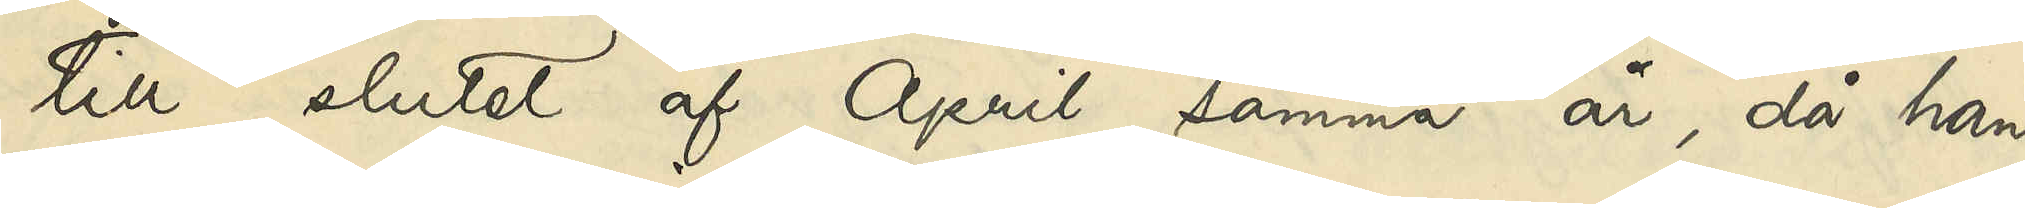till slutet af April samma år, då han
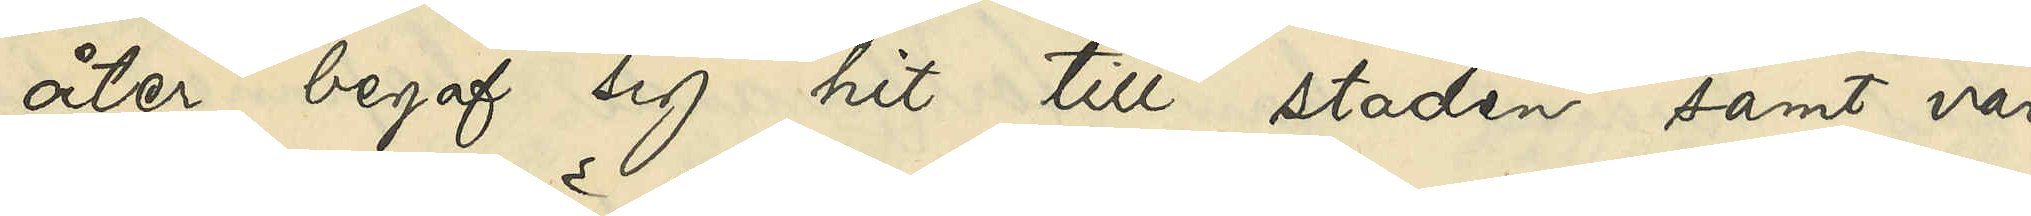åter begaf sig hit till staden samt var
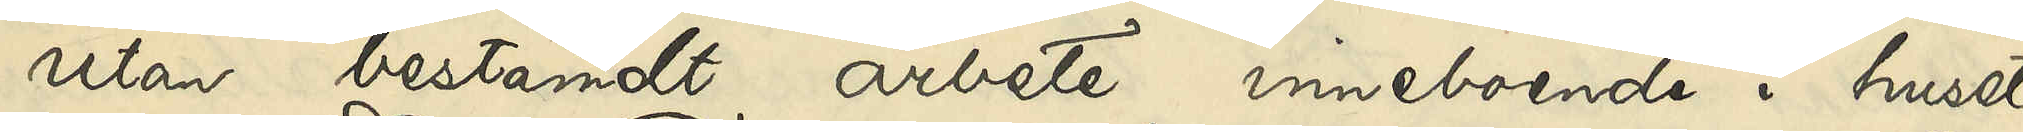utan bestämdt arbete inneboende i huset
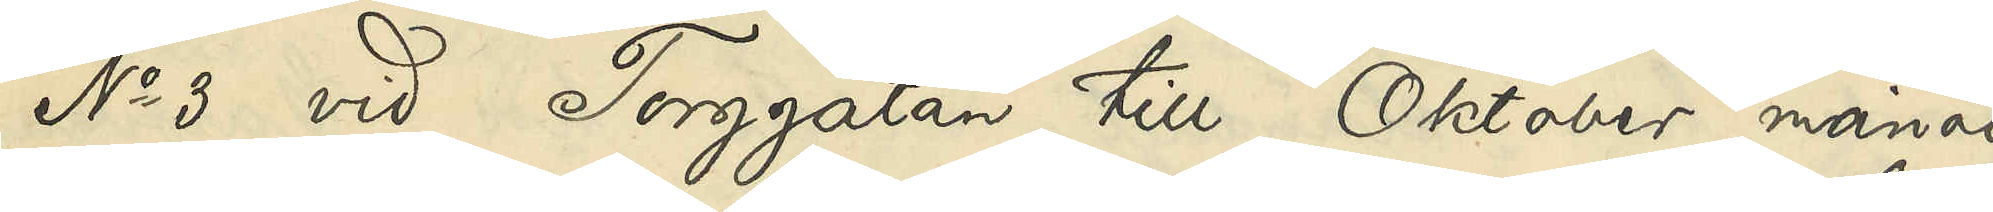No 3 vid Torggatan till Oktober månad
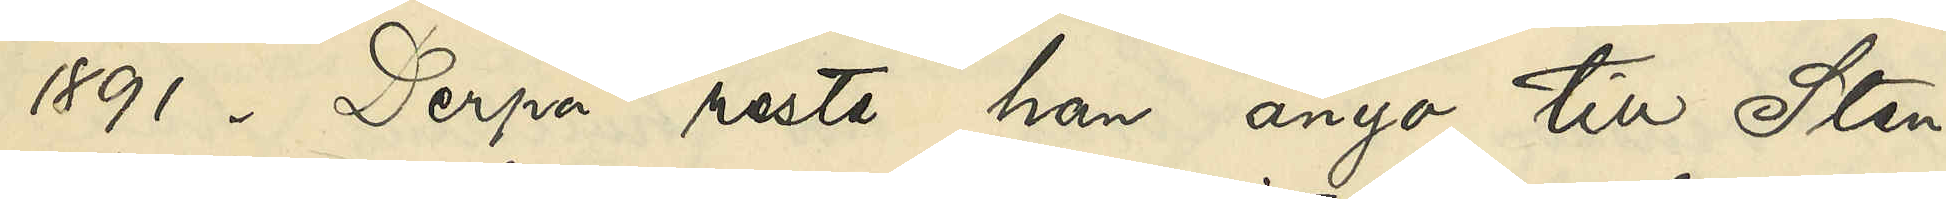1891. Derpå reste han ånyo till Sten¬
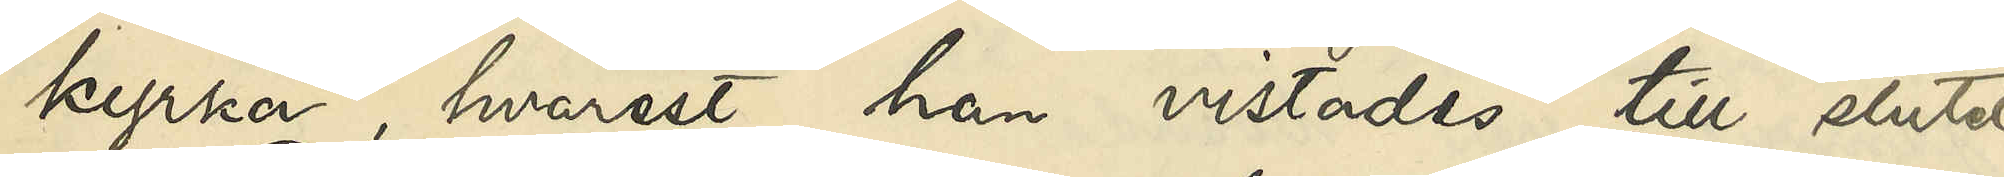kyrka, hvarest han vistades till slutet
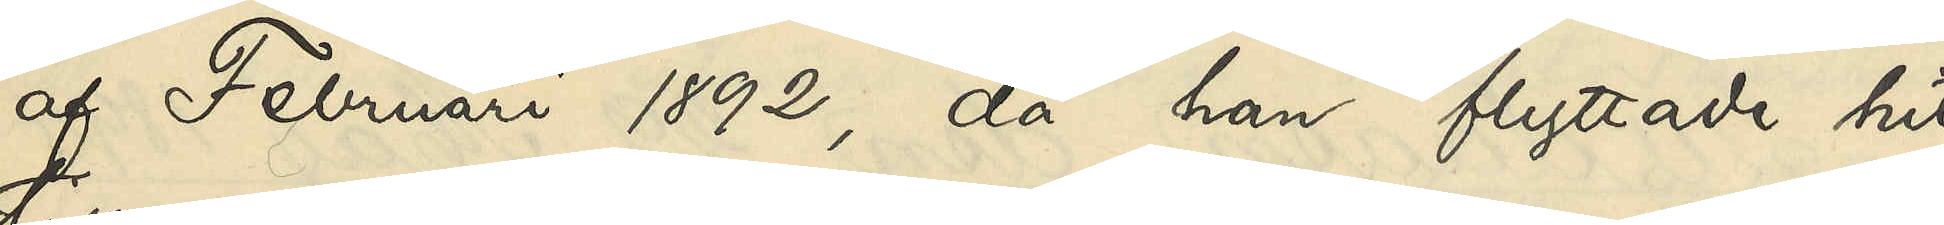af Februari 1892, då han flyttade hit
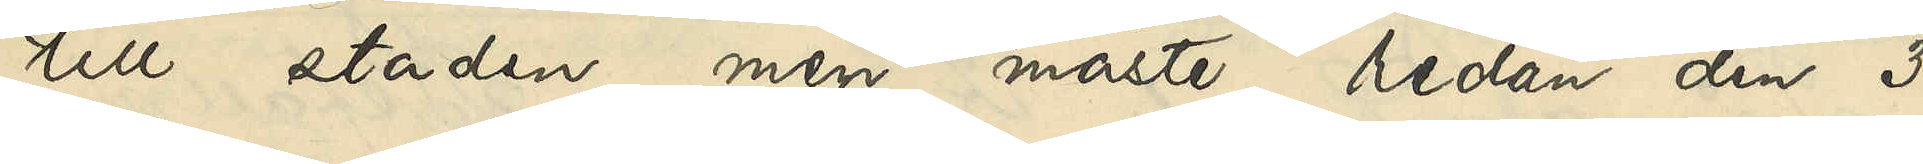till staden men måste redan den 3
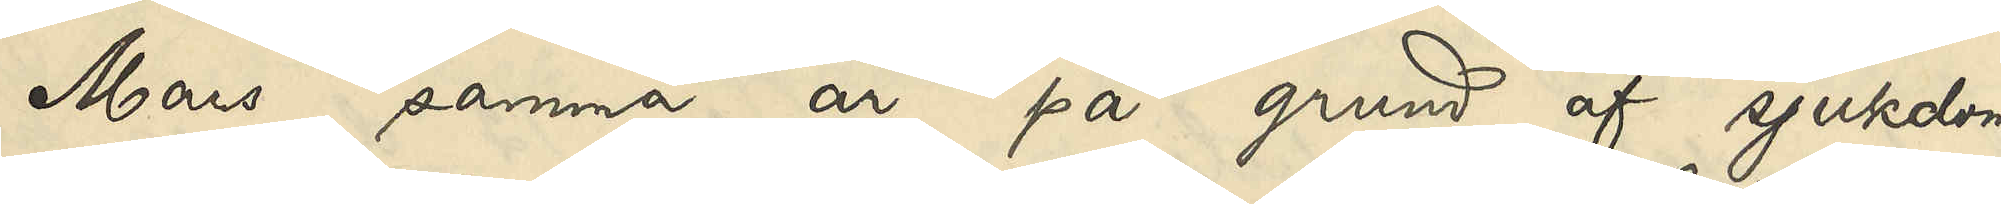Mars samma år på grund af sjukdom
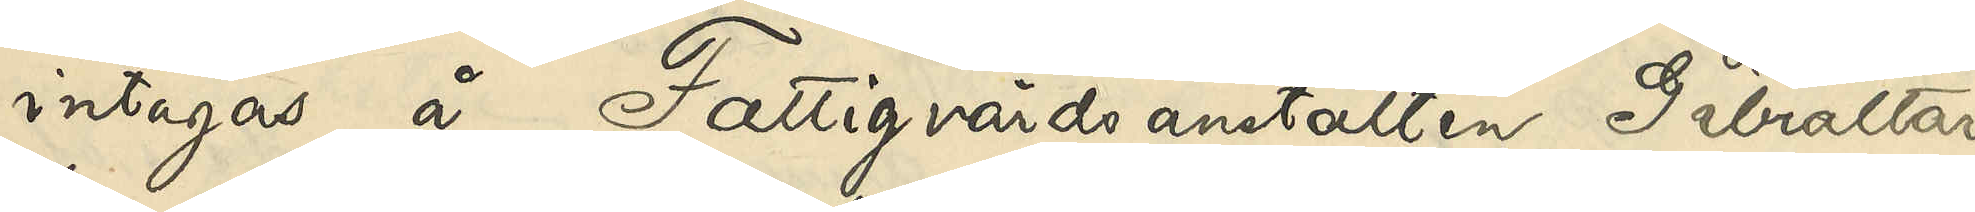intagas å Fattigvårdsanstalten Gibraltar,
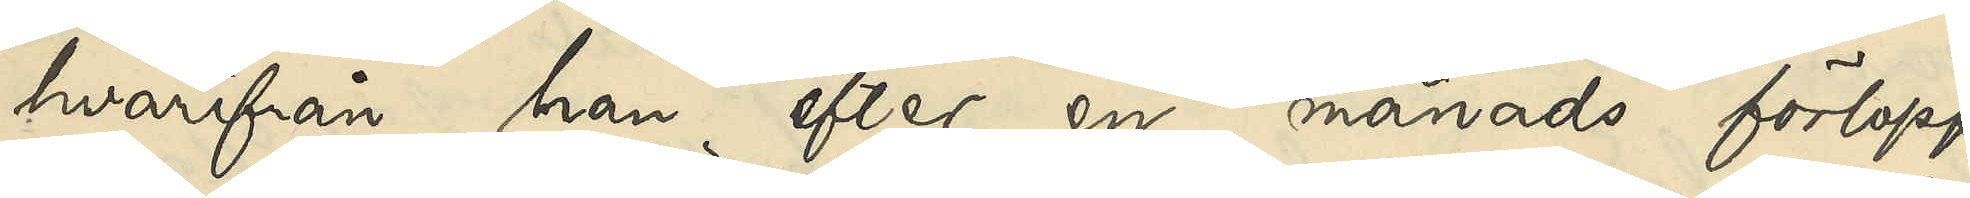hvarifrån han efter en månads förlopp
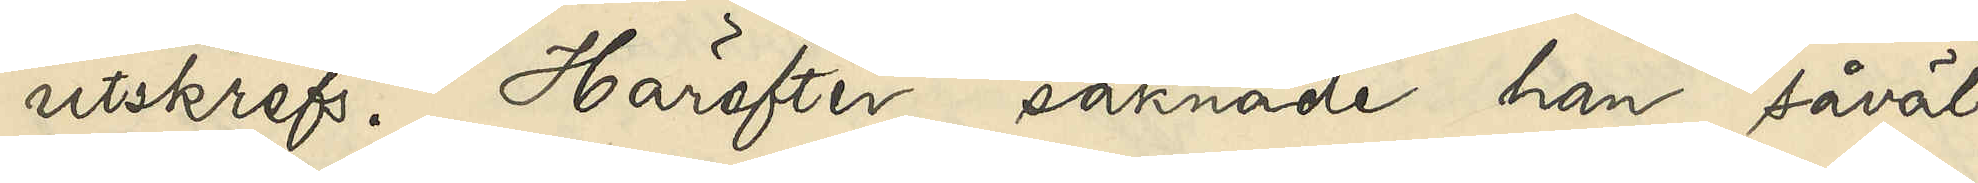utskrefs. Härefter saknade han såväl
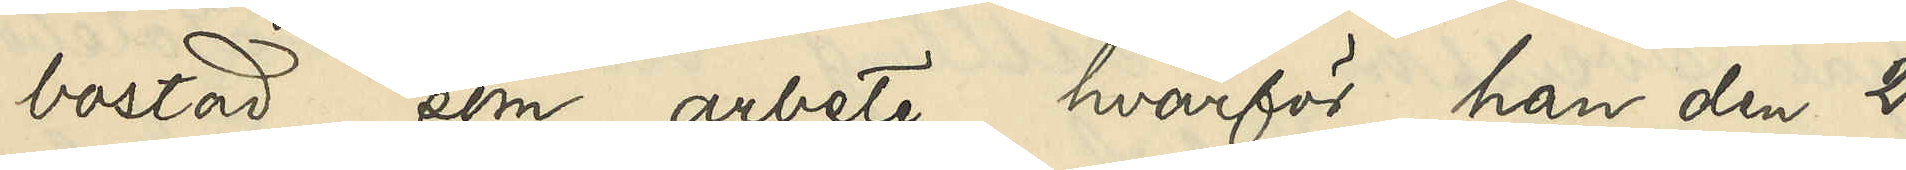bostad som arbete, hvarför han den 2
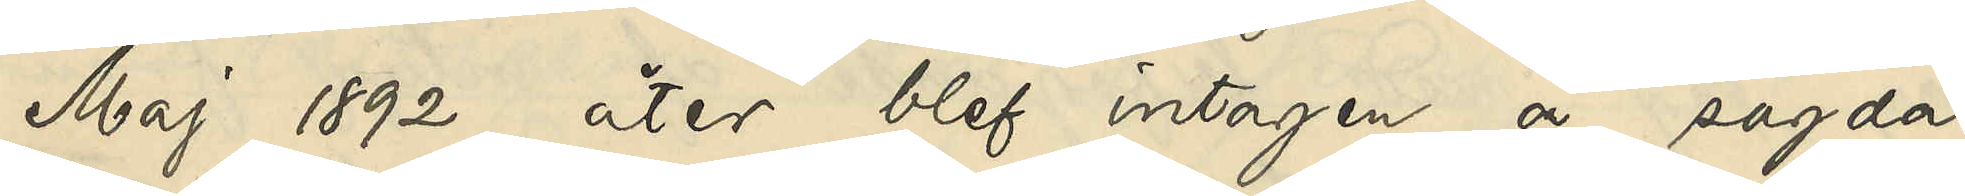Maj 1892 åter blef intagen å sagda
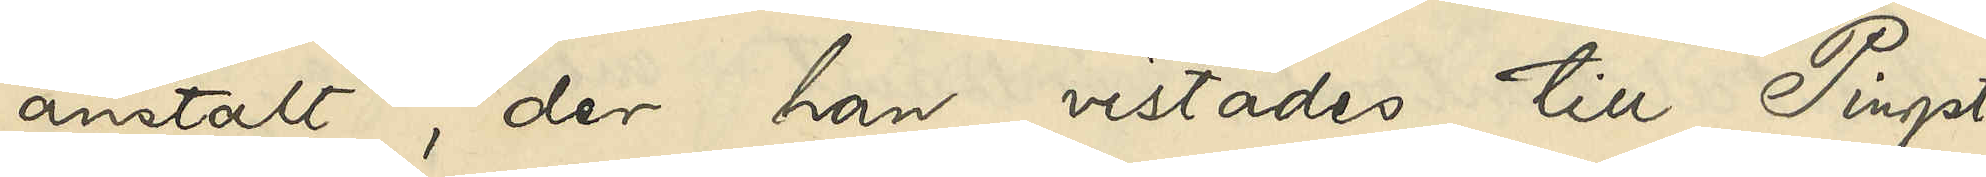anstalt, der han vistades till Pingst¬
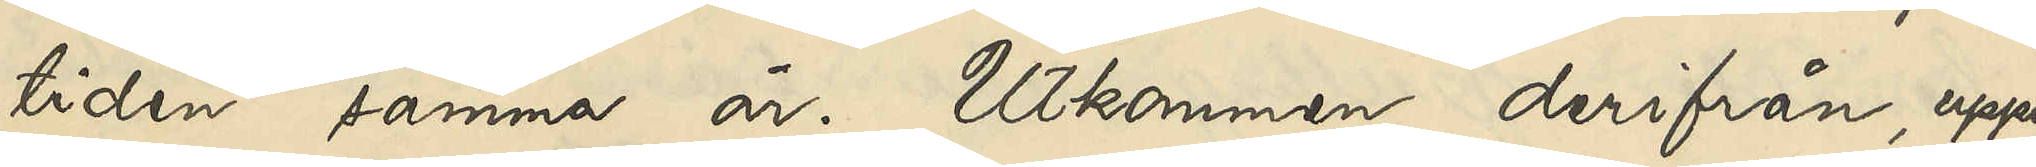tiden samma år. Utkommen derifrån, uppe¬
